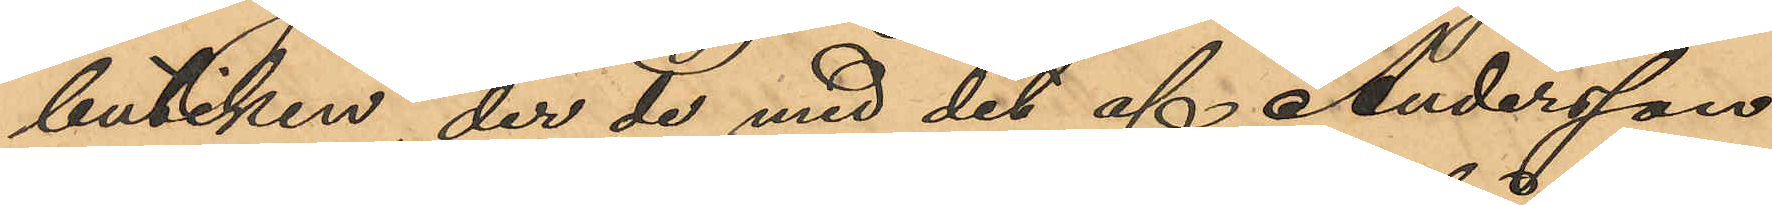butiken, der de med det af Andersson
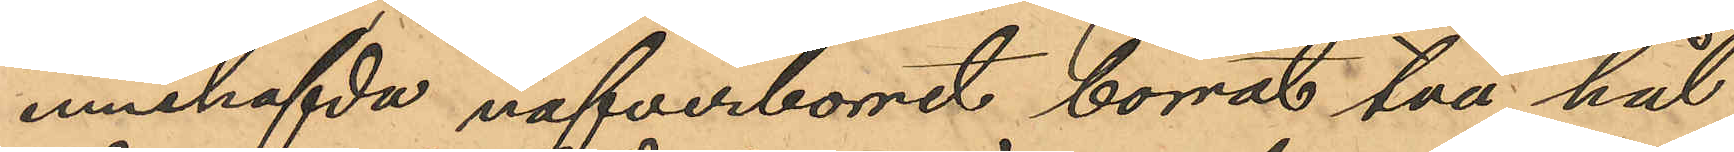innehafvda nafverborret borrat två hål
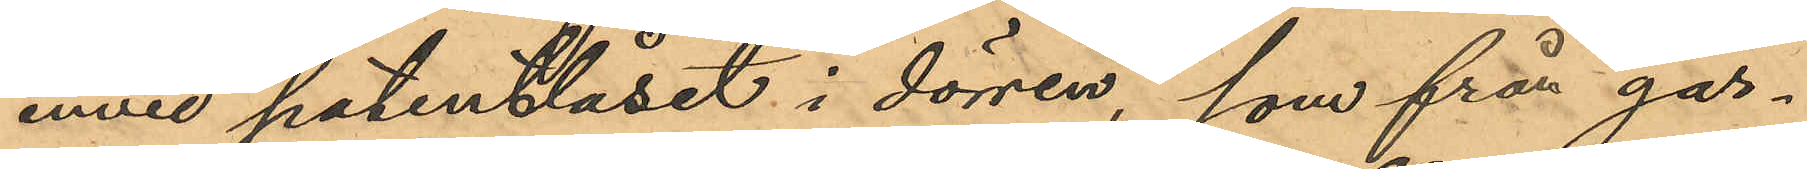invid patentlåset i dörren, som från går¬
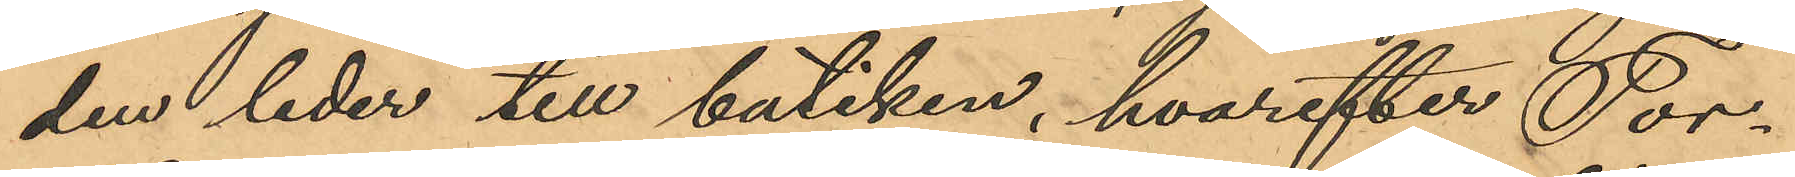den leder till butiken, hvarefter Tor¬
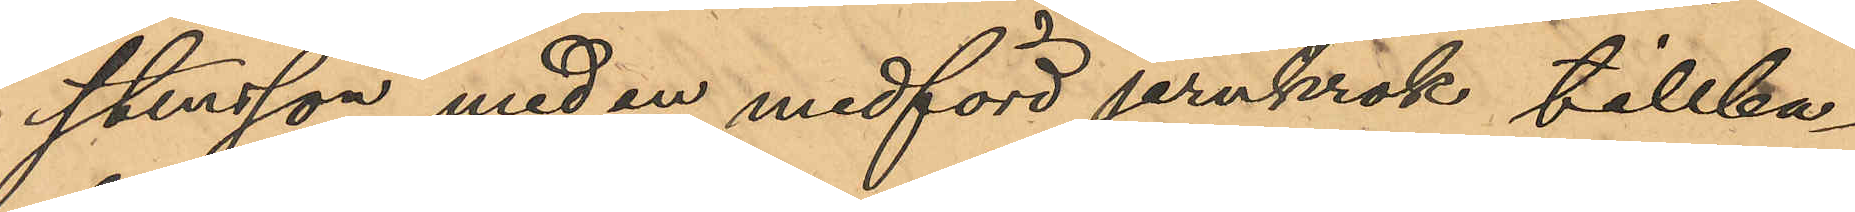stensson med en medförd jernkrok tillba¬
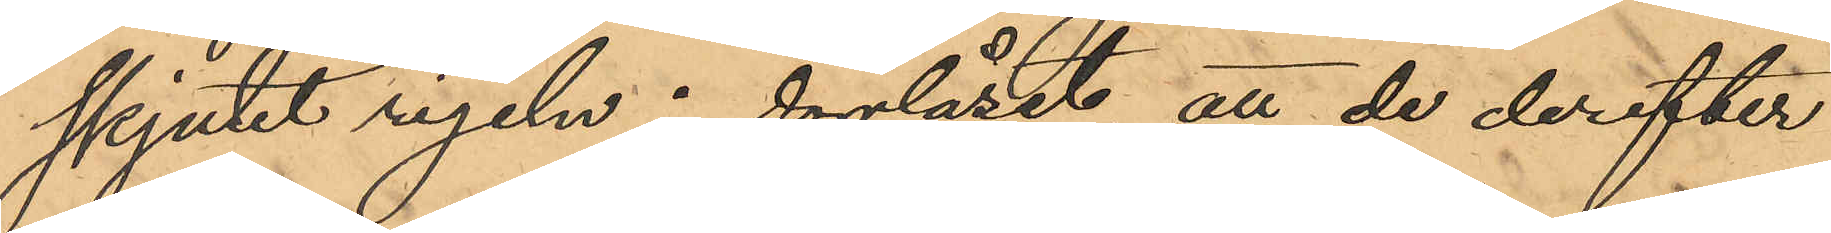skjutit rigeln i dörrlåset, att de derefter
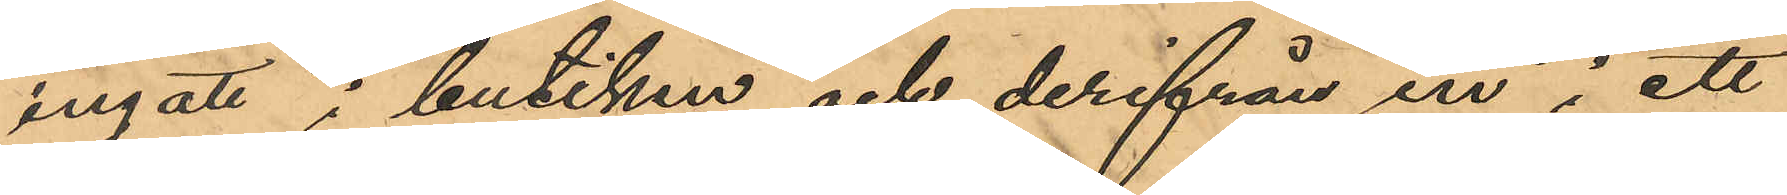ingått i butiken och derifrån in i ett
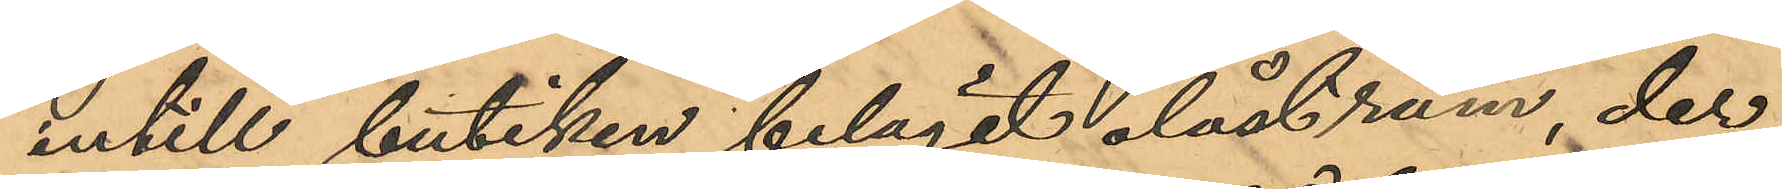intill butiken beläget olåst rum, der
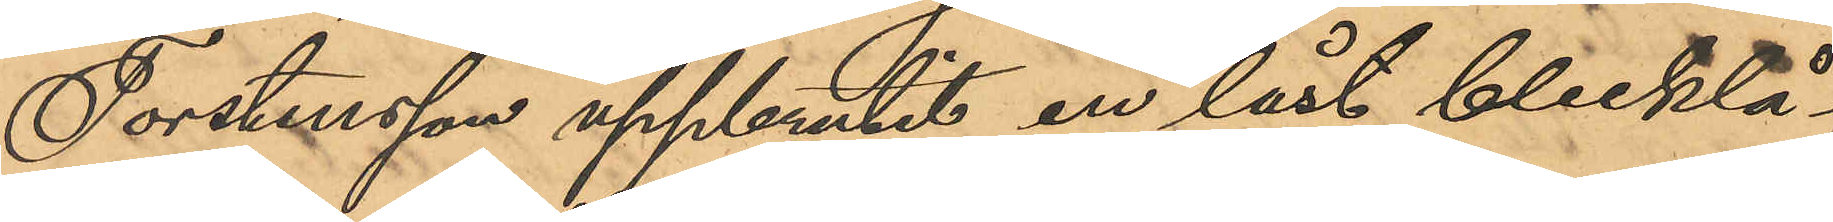Torstensson uppbrutit en låst blecktå¬
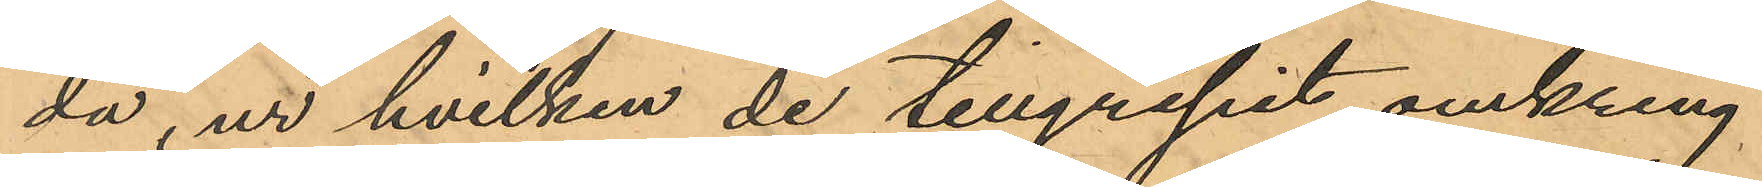da, ur hvilken de tillgripit omkring
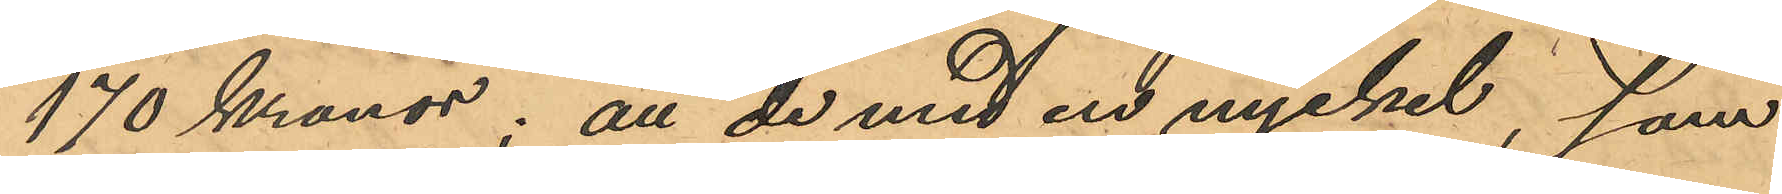170 Kronor; att de med en nyckel, som
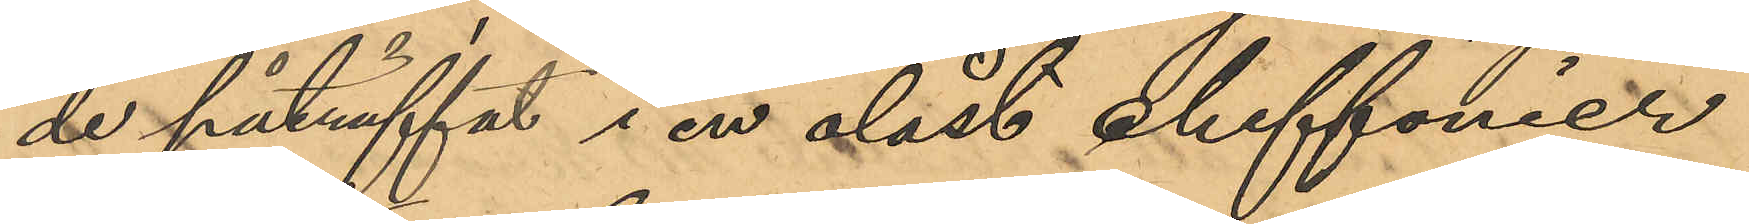de påträffat i en olåst chiffonier
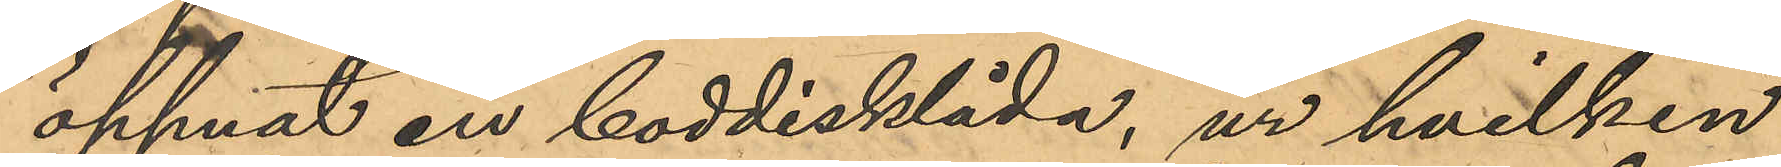öppnat en boddisklåda, ur hvilken
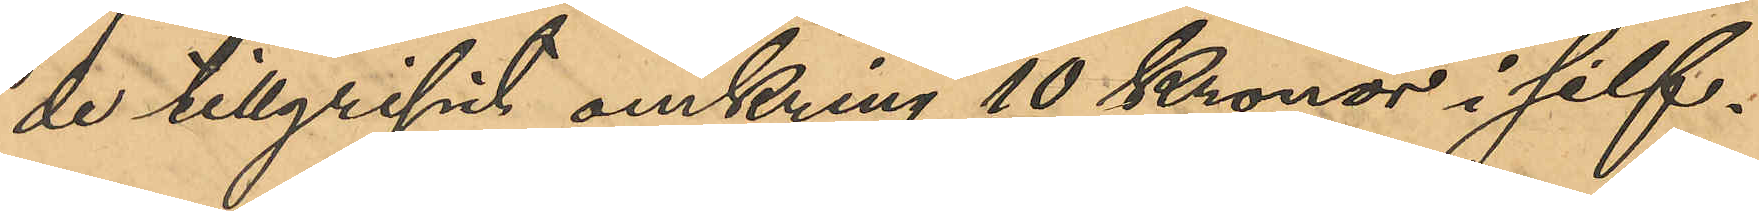de tillgripit omkring 10 Kronor i silf¬
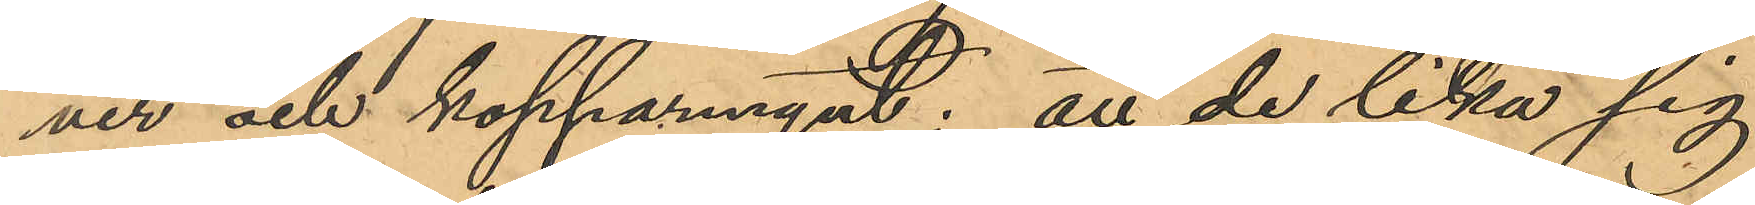ver och kopparmynt; att de lika sig
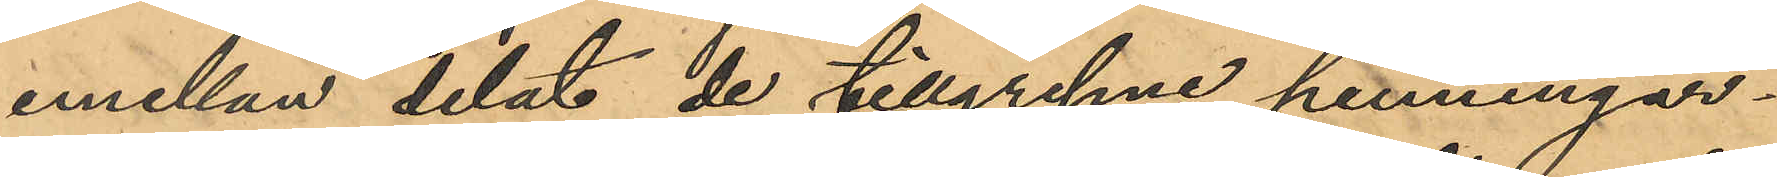emellan delat de tillgripne penningar¬
